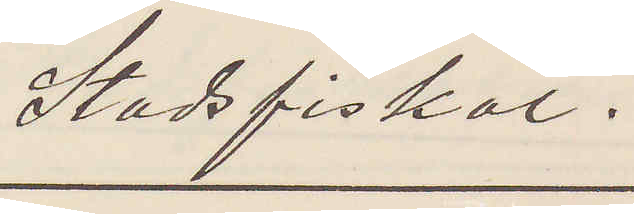Stadsfiskal.
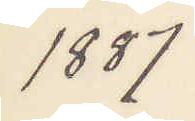1887
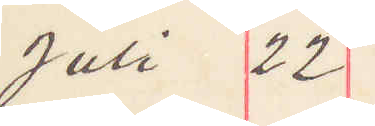Juli 22
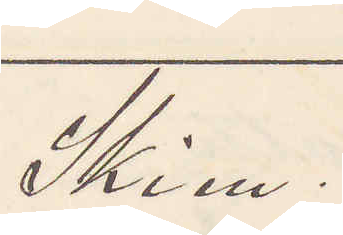Skien
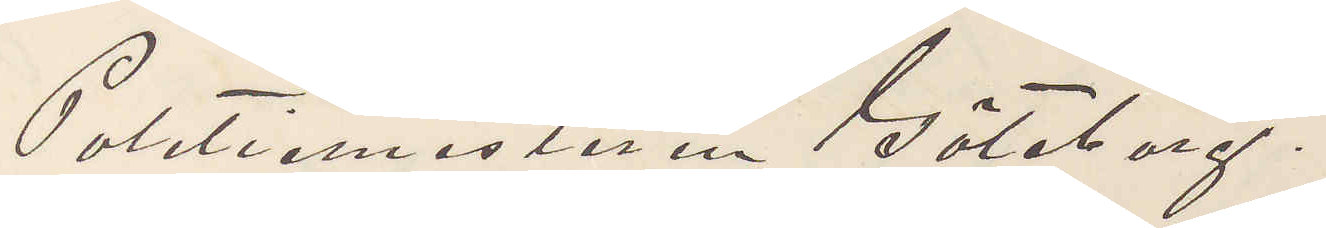Politiemästaren Göteborg.
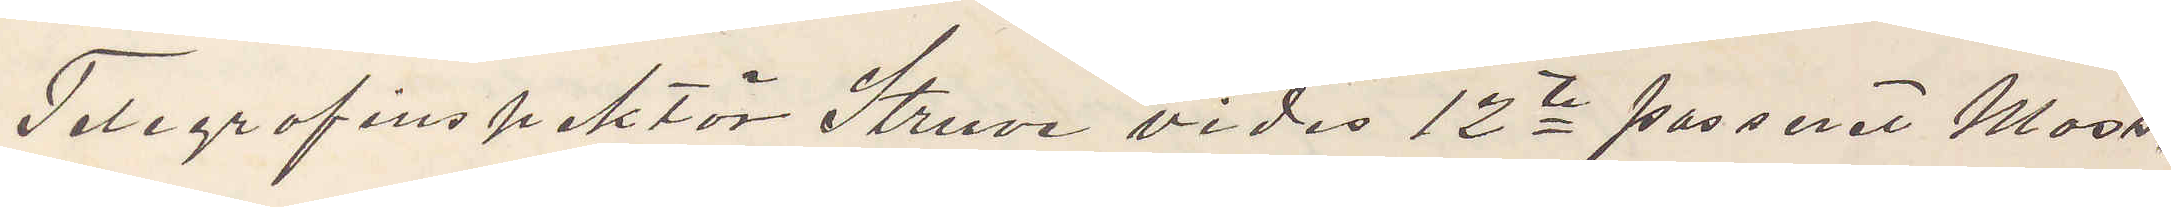Telegrafinspektör Struve vides 12te passeret Moss.
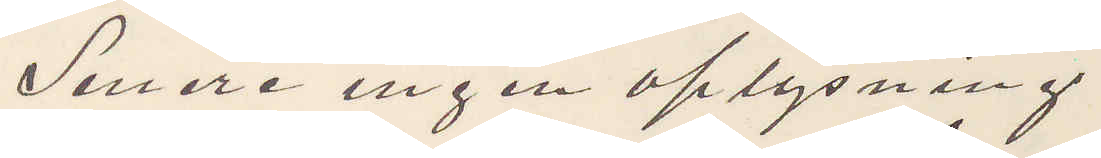Senere ingen oplysning.
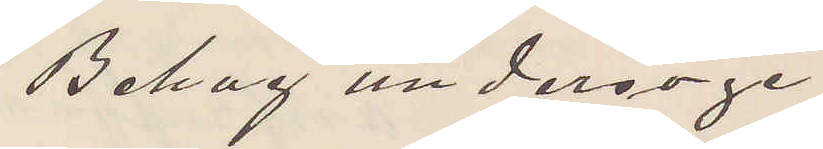Behag undersöge
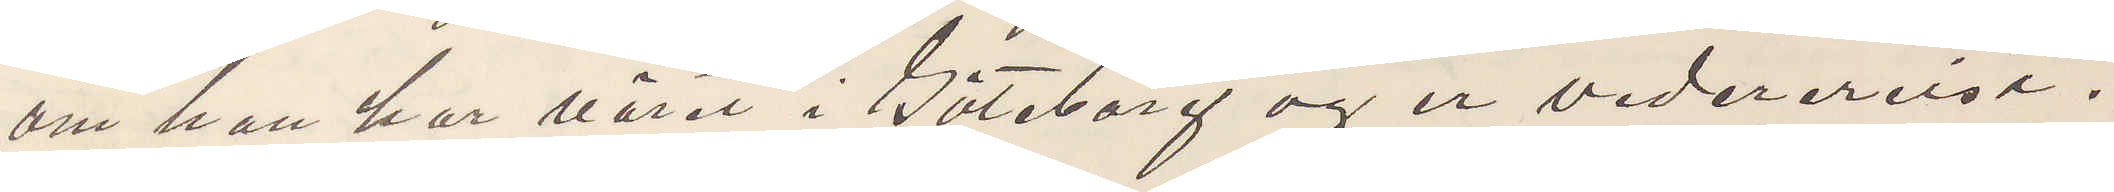om han har väret i Göteborg og er vederereist.
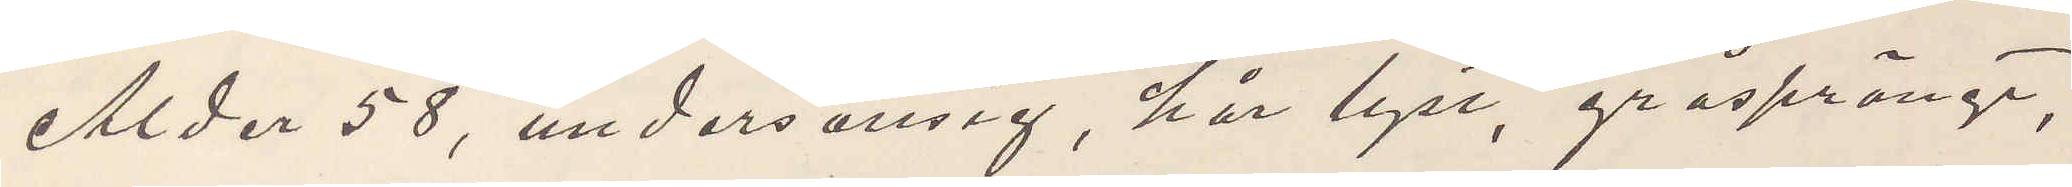Alder 58, undersättsig, hår lyst, gråsprängt,
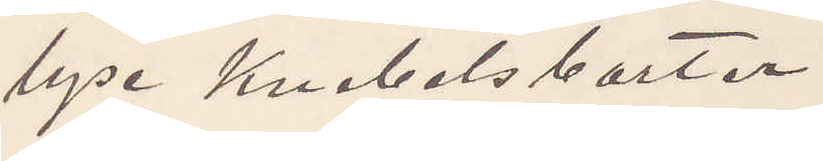lyse Knebelsbarter.
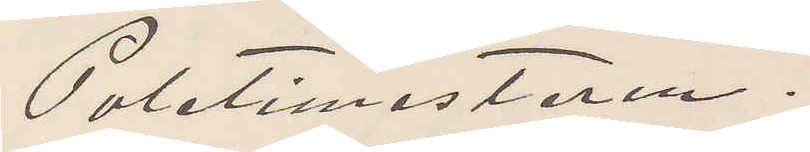Poletimesteren.
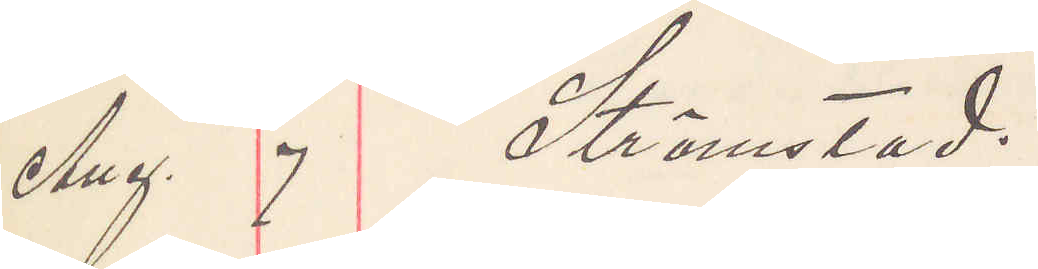Aug. 7 Strömstad.
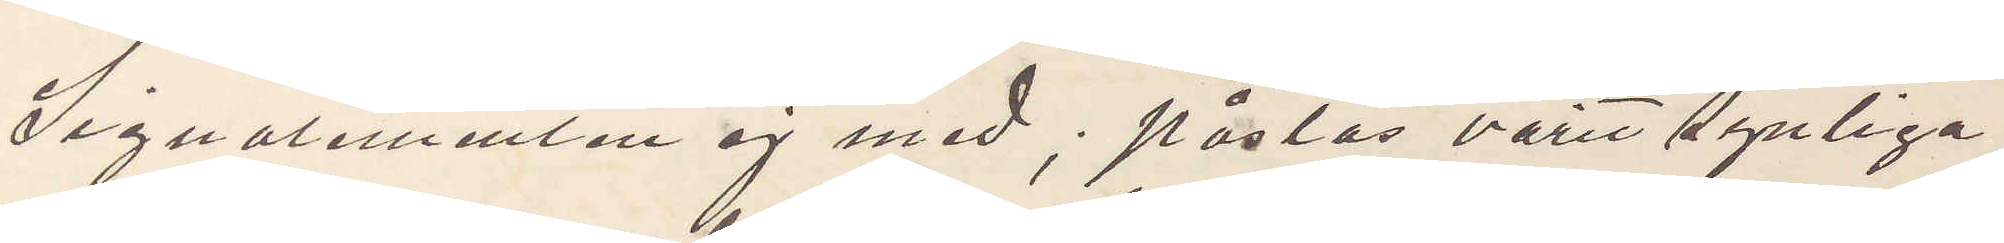Signalementen ej med; påstås varit synliga
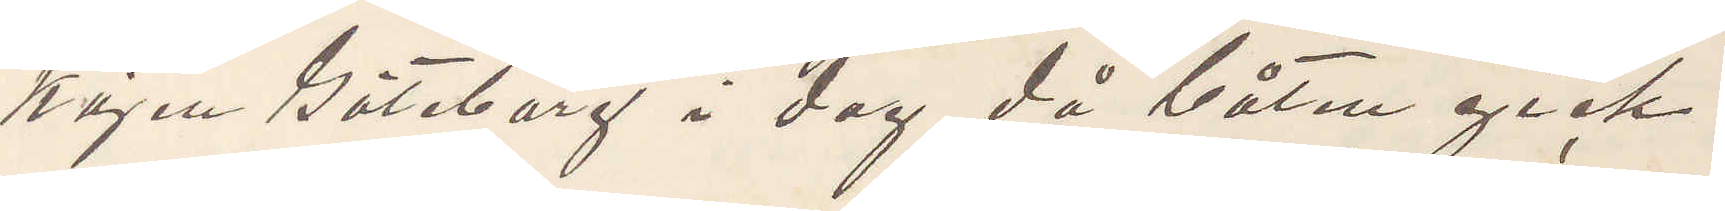kajen Göteborg i dag då båten gick.
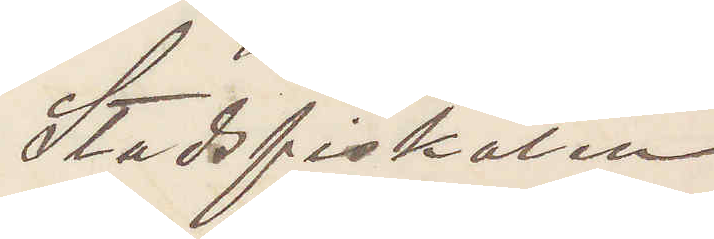Stadsfiskalen
